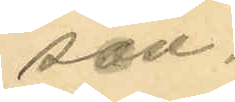son.
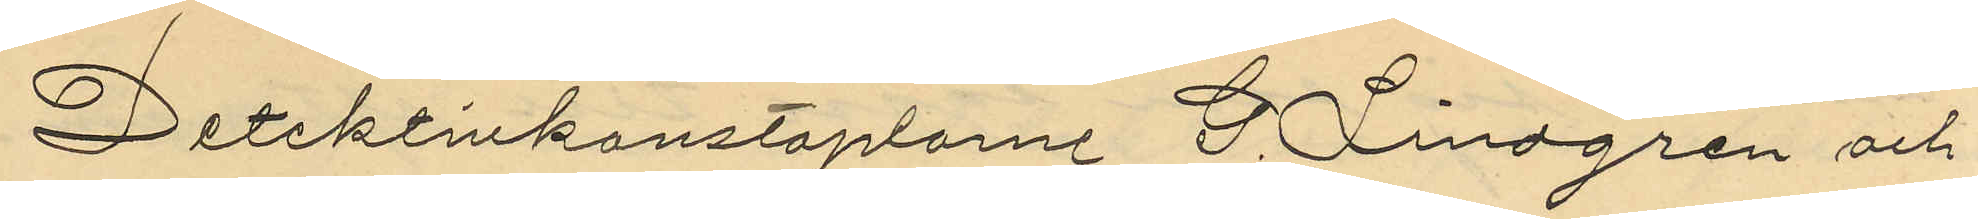Detektivkonstaplarne G. Lindgren och
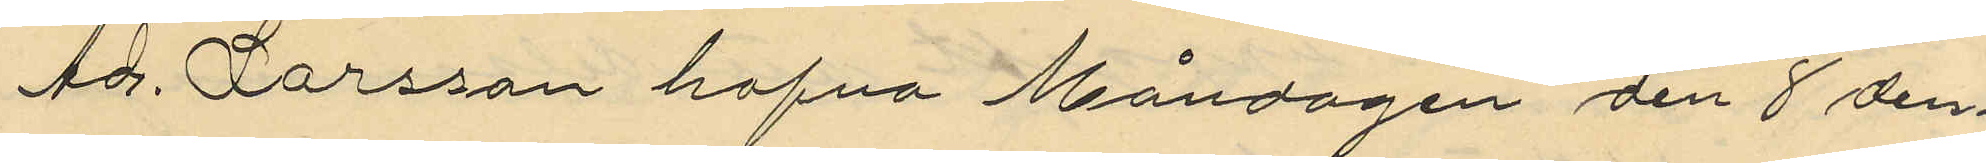Ad. Larsson hafva Måndagen den 8 den¬
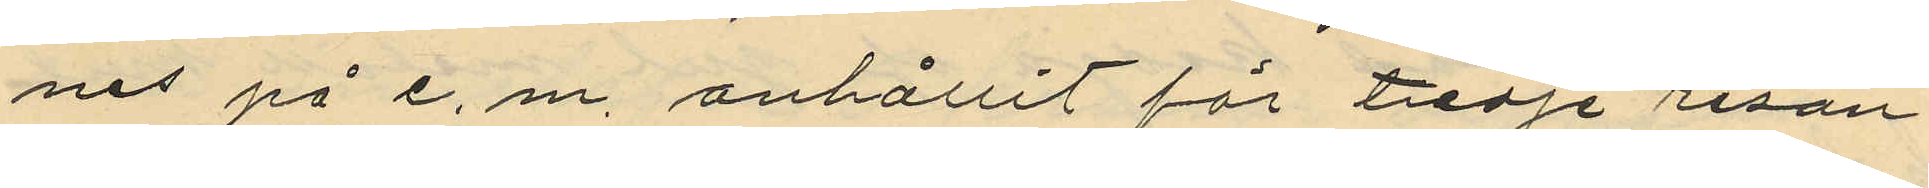nes på e. m. anhållit för tredje resan
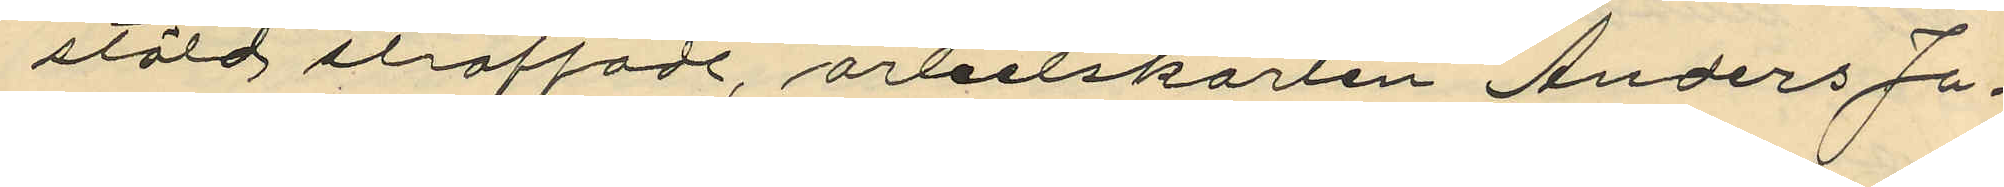stöld straffade, arbetskarlen Anders Jo¬
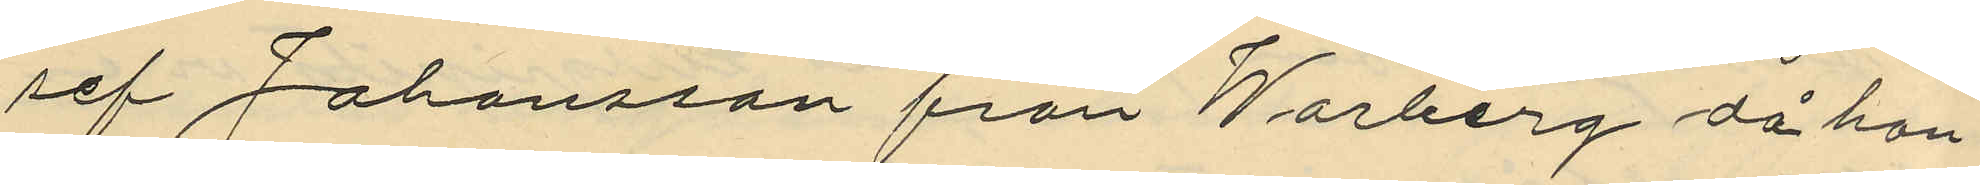sef Johansson från Warberg då han
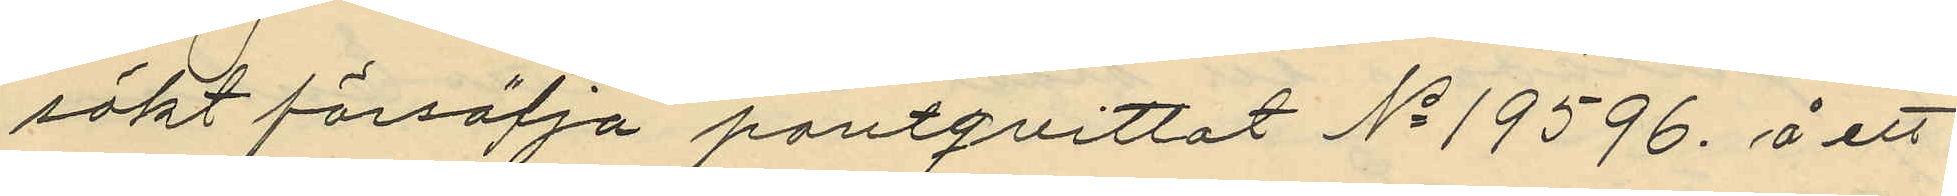sökt försälja pantqvittot No 19596. å ett
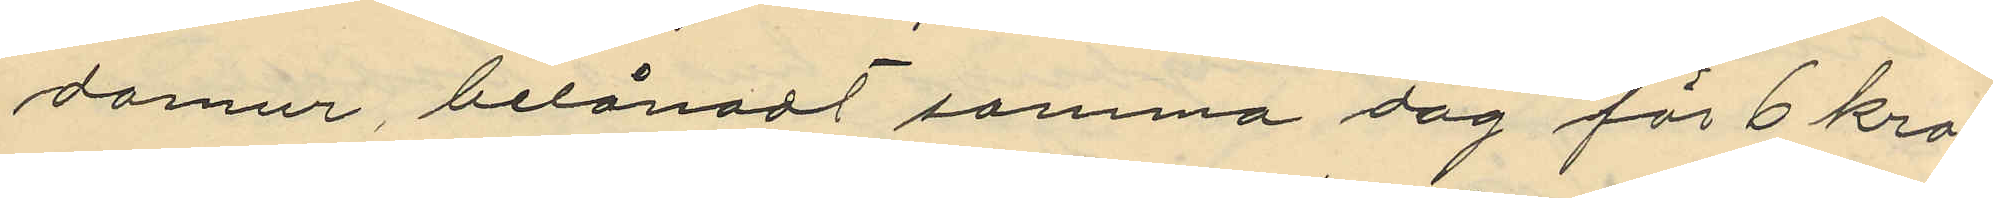damur, belånadt samma dag för 6 kro¬
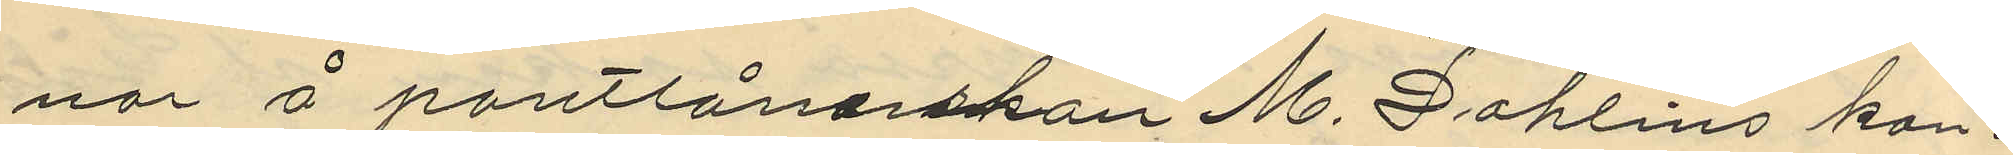nor å pantlånarskan M. Dahlins kon¬
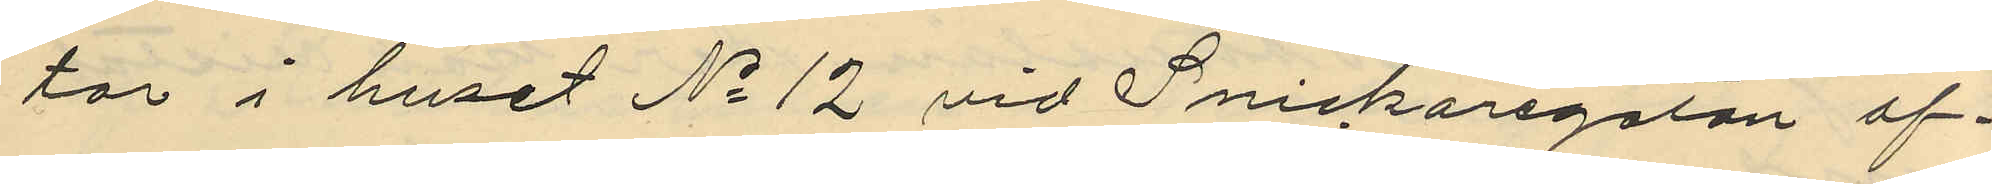tor i huset No 12 vid Snickaregatan af
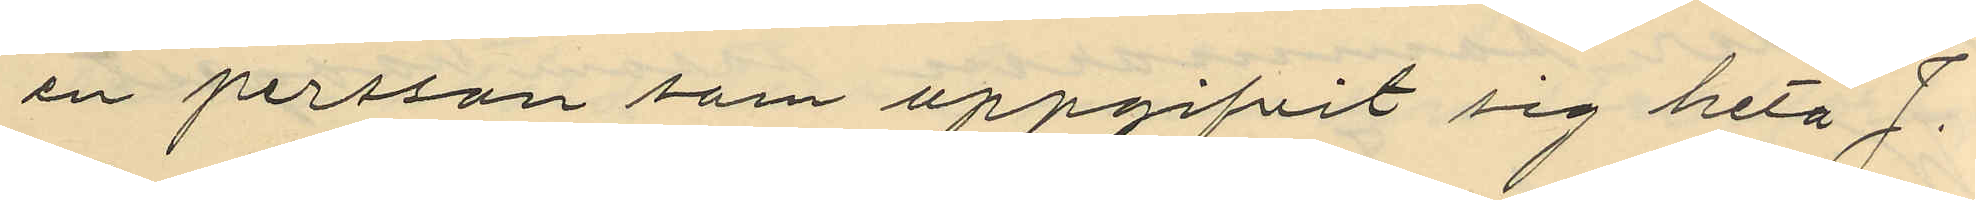en persson som uppgifvit sig heta J.
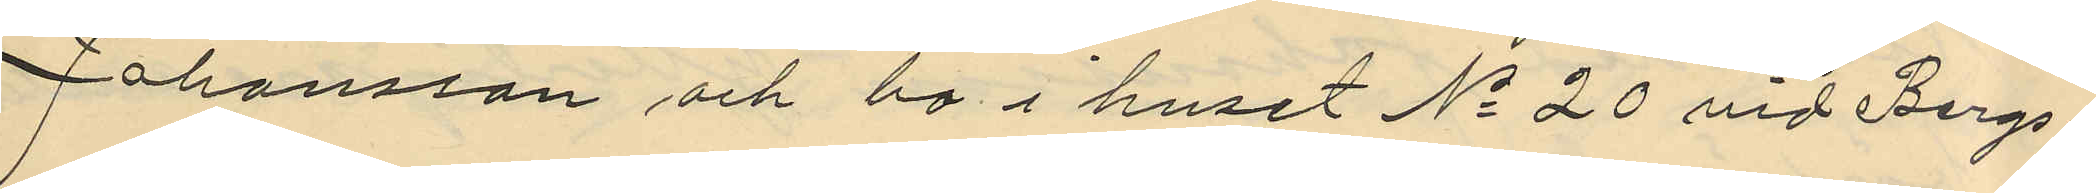Johansson och bo i huset No 20 vid Bergs¬
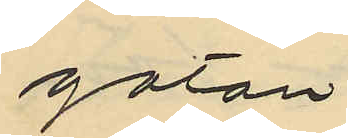gatan.
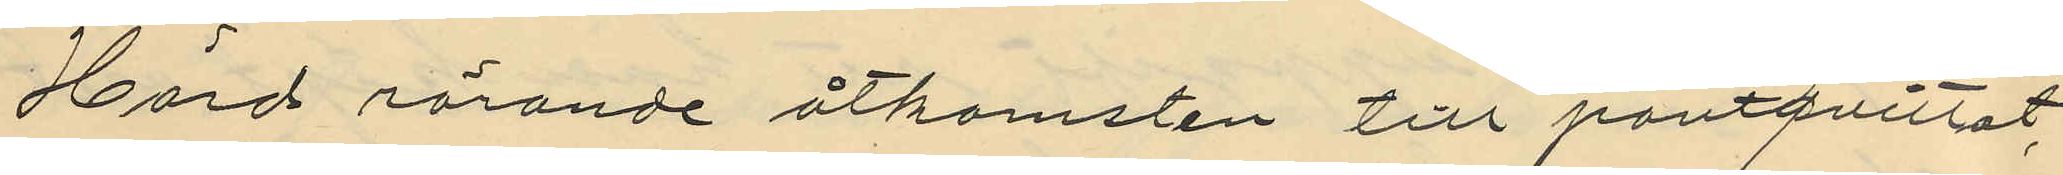Hörd rörande åtkomsten till pantqvittot,
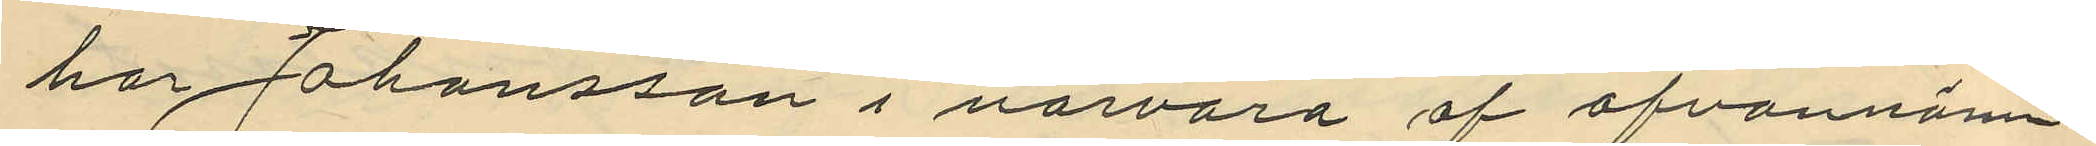har Johansson i närvaro af ofvannäm¬
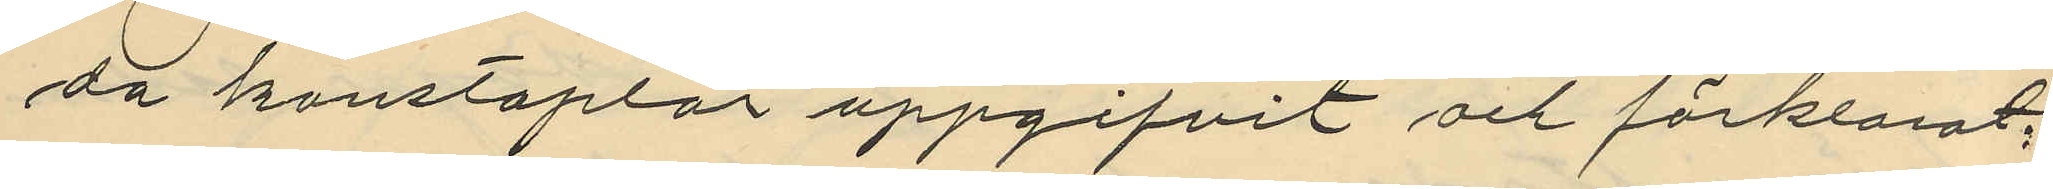da konstaplar uppgifvit och förklarat;
